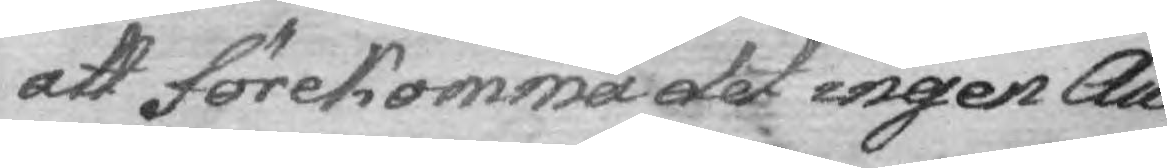att förekomma det ingen Au¬
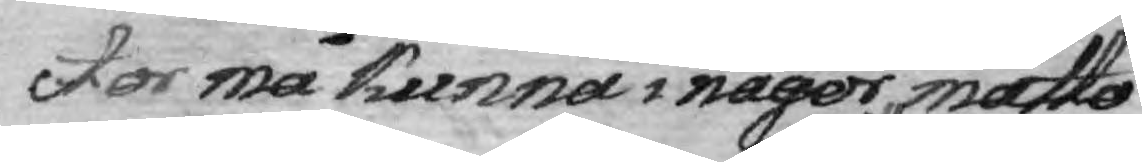ctor må kunna i någor måtto
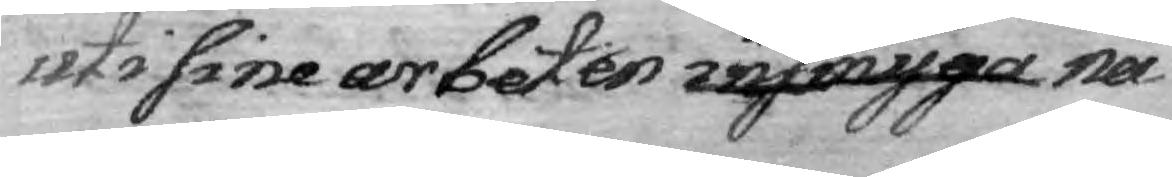uti sine arbeten insmyga giöra nå¬
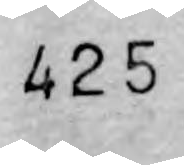425
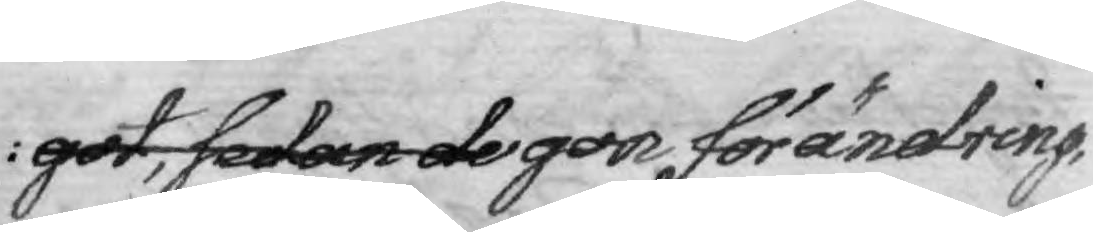got, sedan de gon förändring,
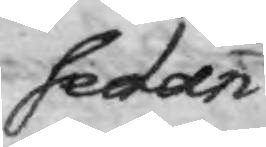sedan
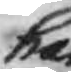han
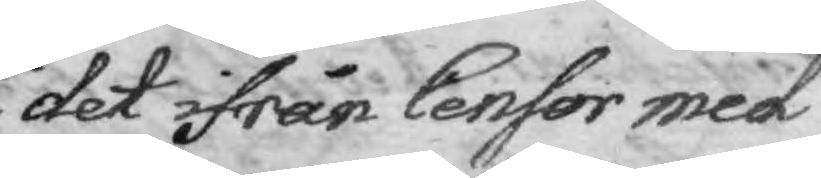det ifrån Censor med
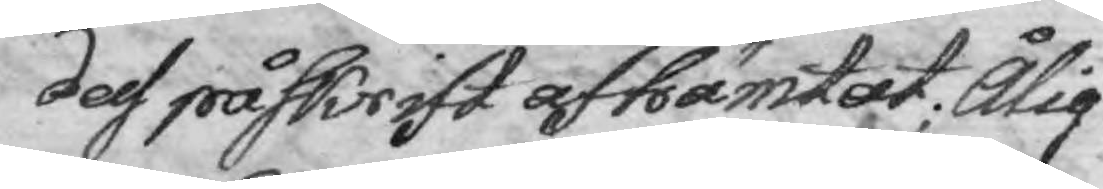dess påskrift afhämtat; Ålig¬
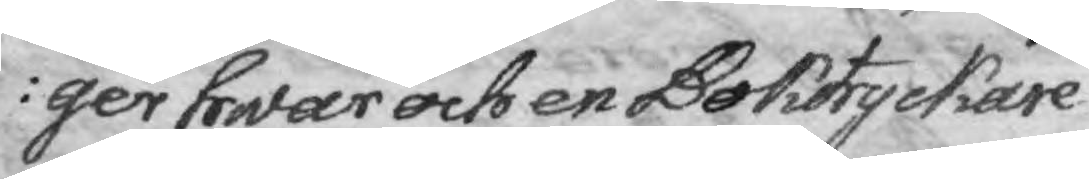ger hwar och en Boktryckare
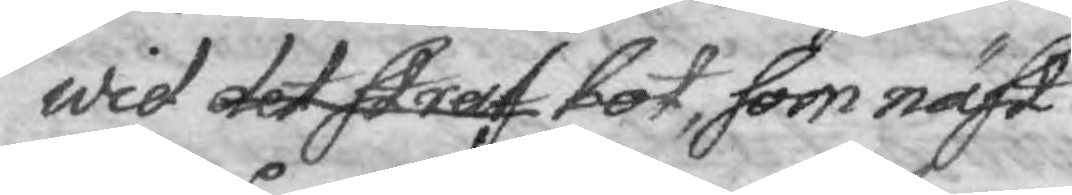wid det straf bot, som näst
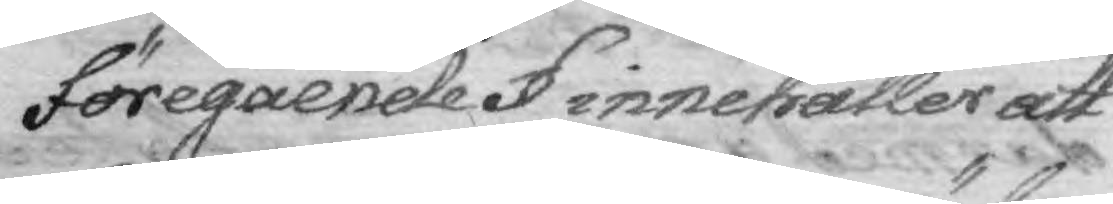föregående § innehåller att
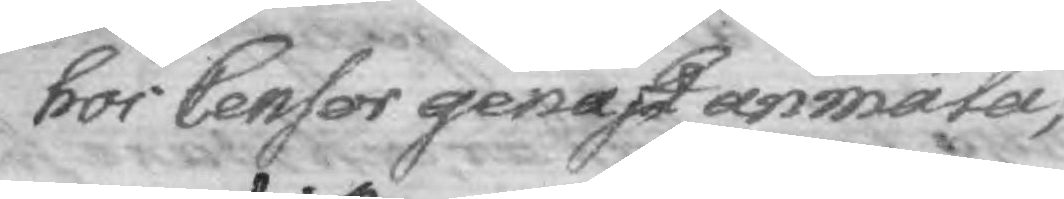hos Censor genast anmäla,
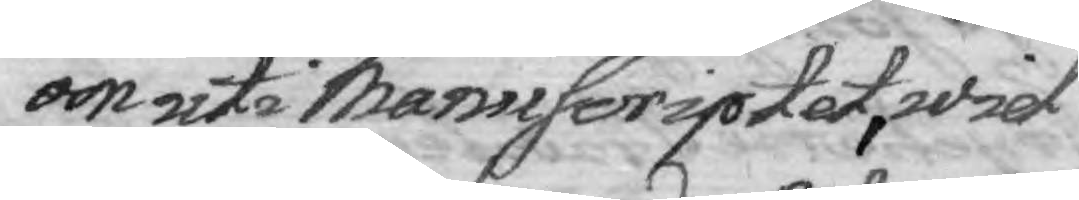om uti Manscriptet, wid
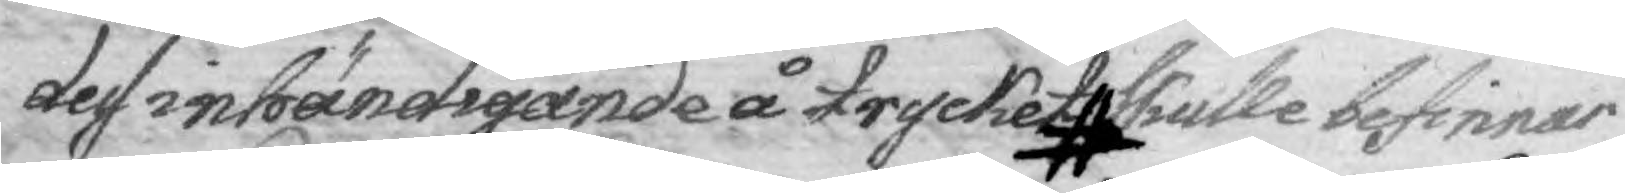dess inhändigande å trycket skulle befinnas
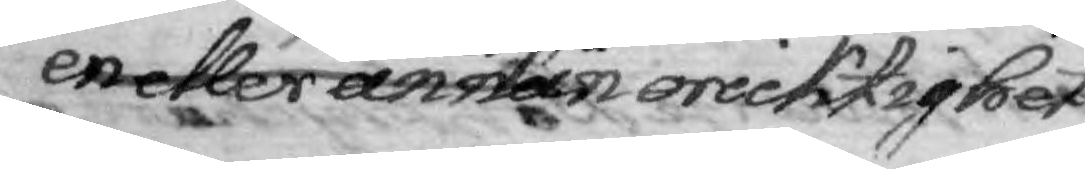en eller annan den minsta oricktighet
